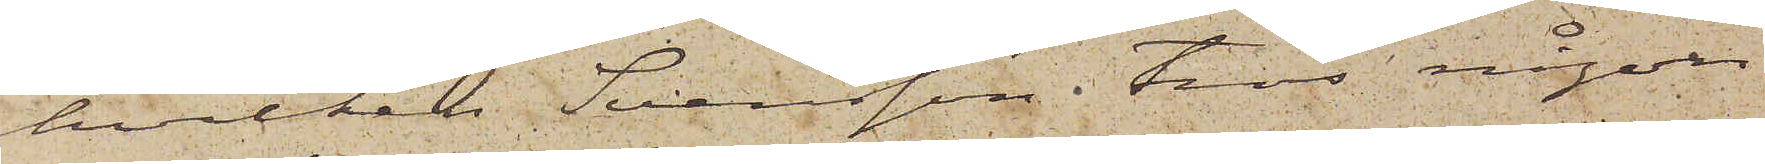hvilken Svensson tros någon
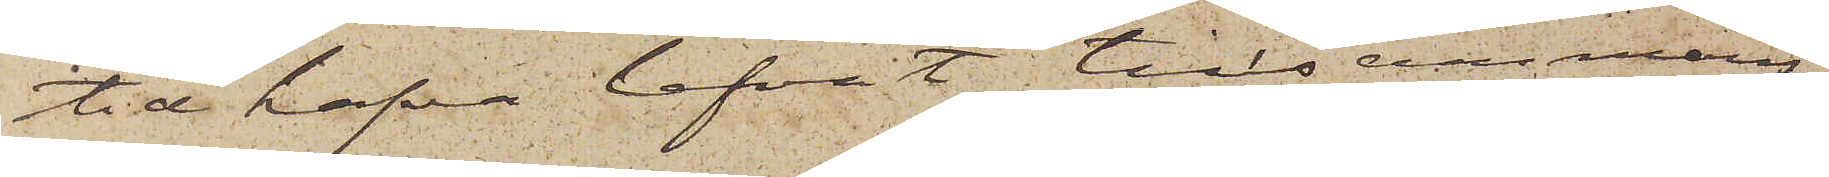tid hafva lefvat tillsammans,
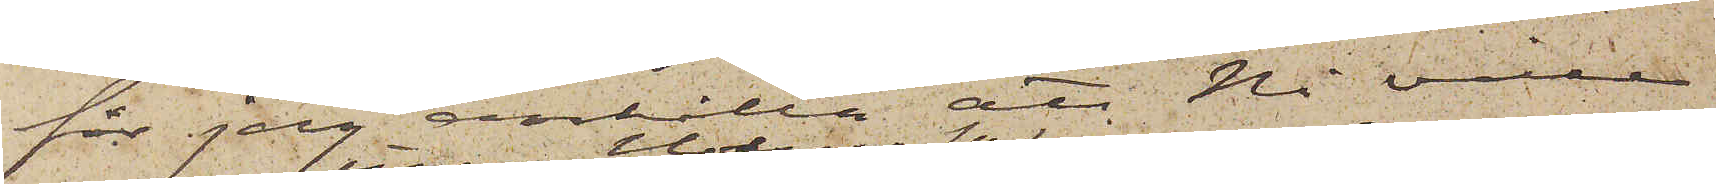får jag anhålla att Ni ville
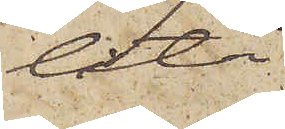låta
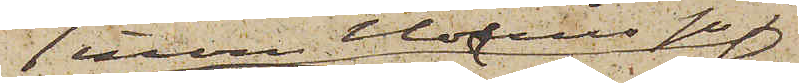inom Holms sn
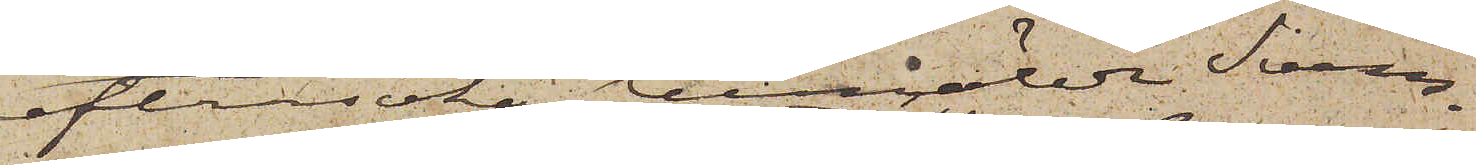eftersöka bemälde Svens¬
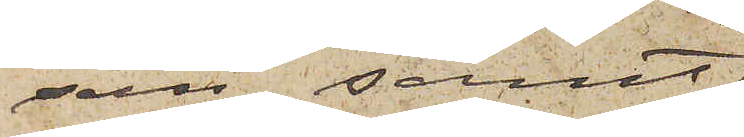son samt
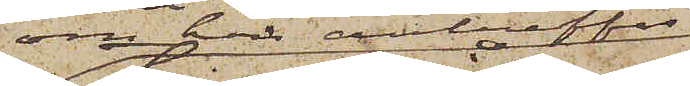om han anträffas
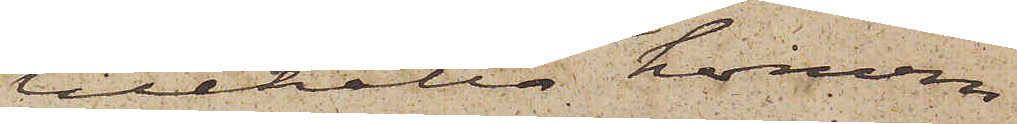tillhålla honom
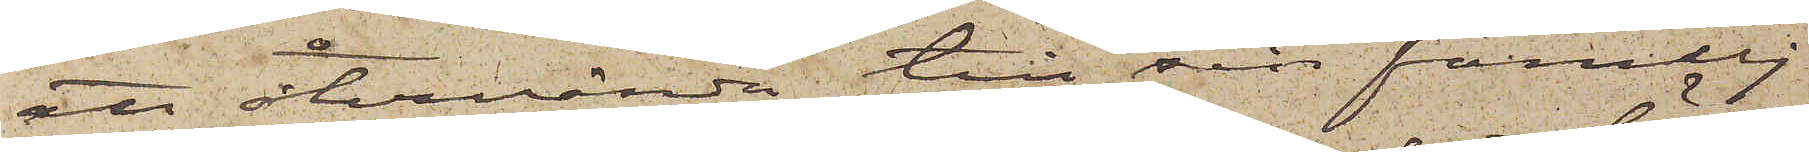att återvända till sin familj
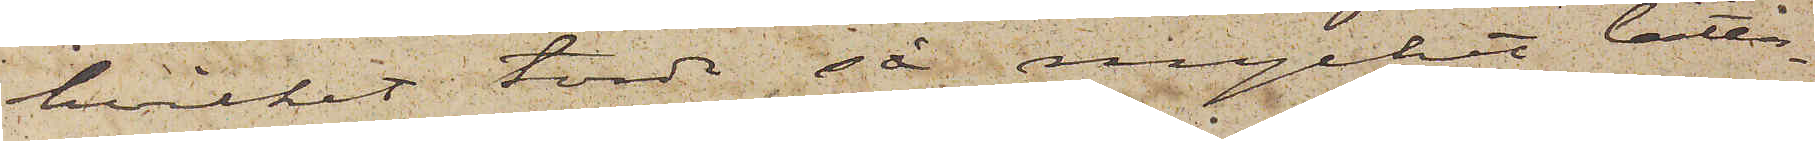hvilket torde så mycket lätta¬
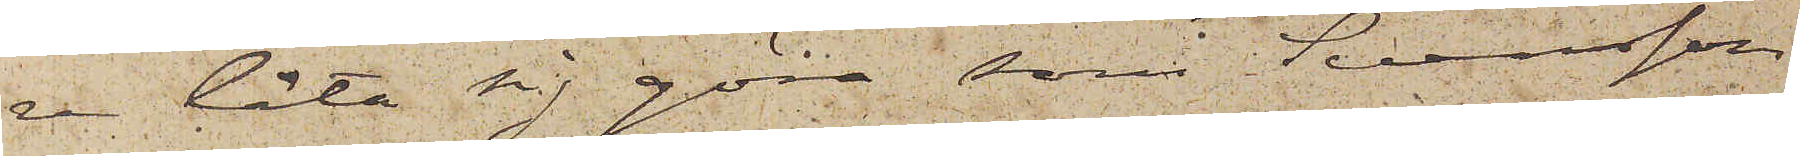re låta sig göra, som Svensson
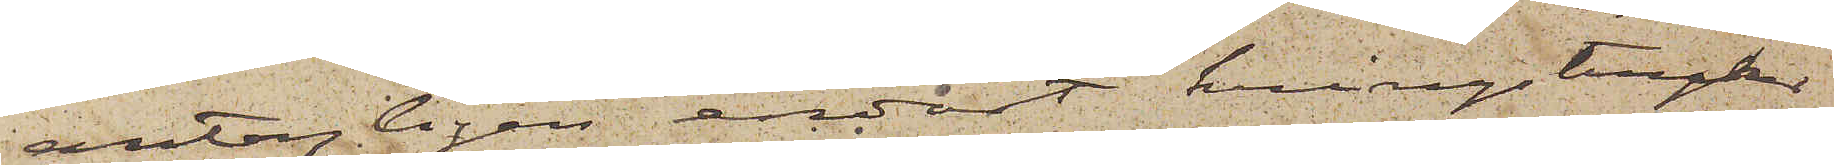antagligen endast kringstryker
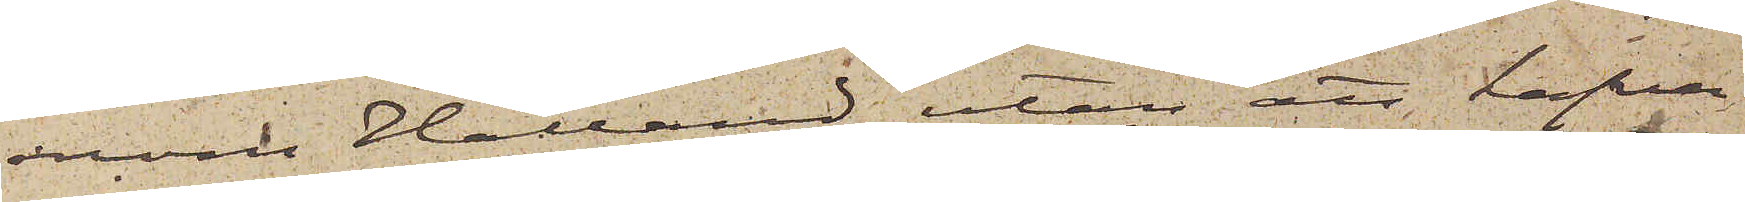inom Halland utan att hafva
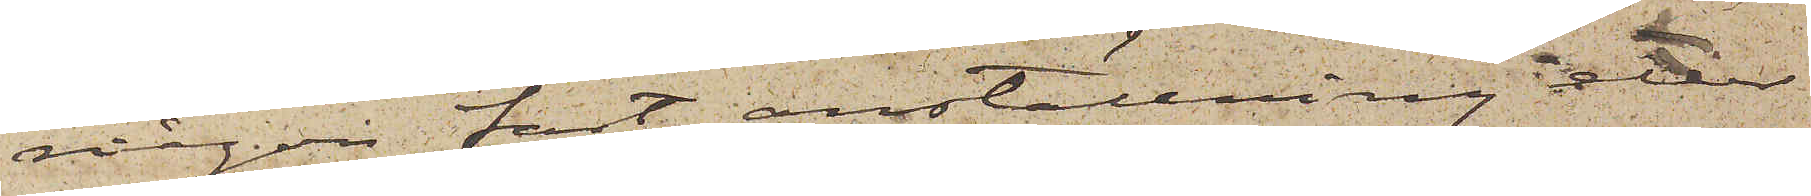någon fast anställning eller
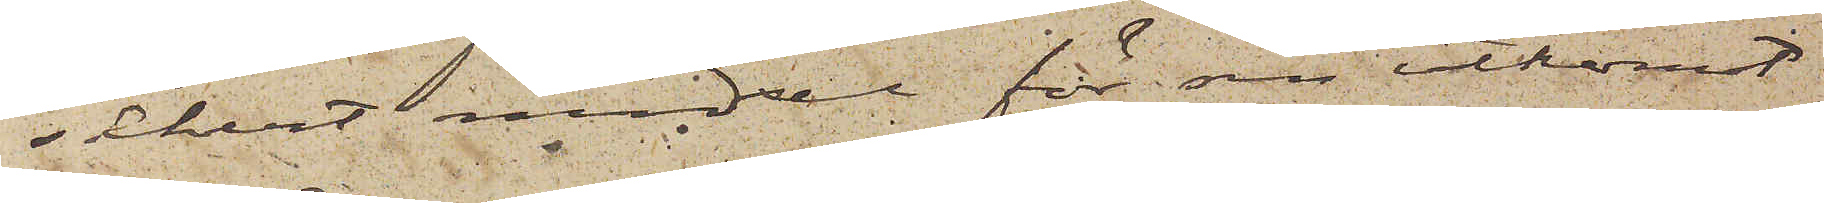säkert medel för sin utkomst.
